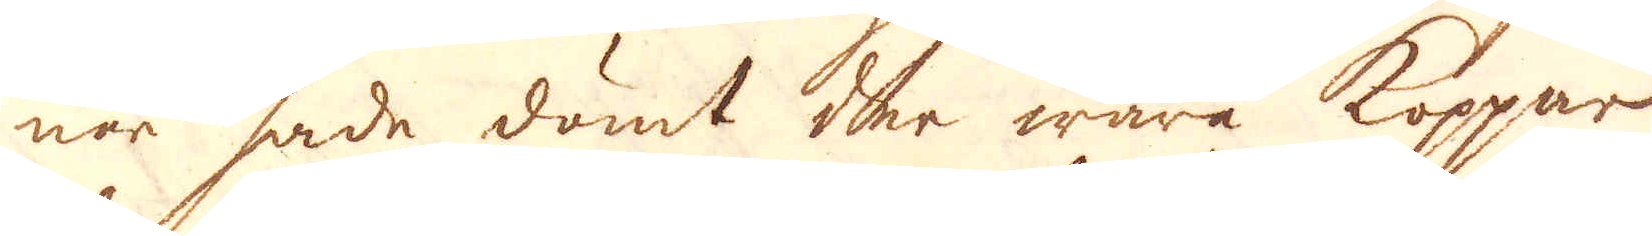nar hade dömt der wara koppar,
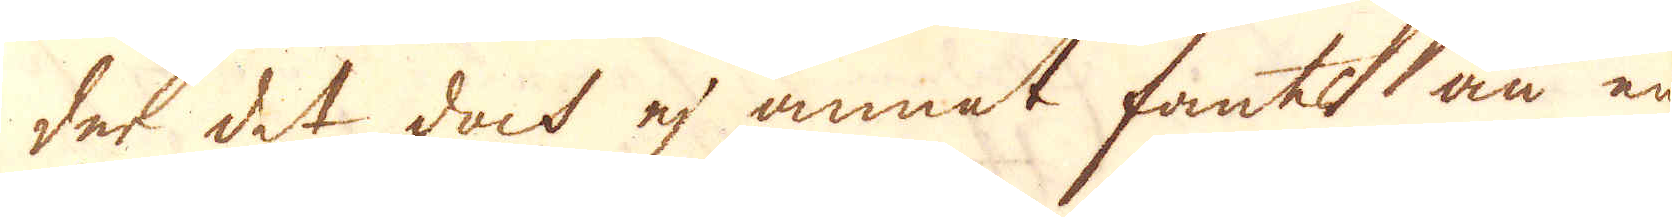det det doch ej annat fants än en
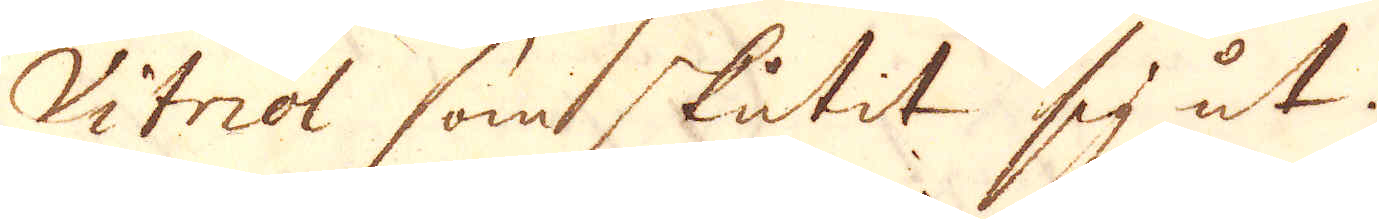Vitriol somt skutit sit ut.
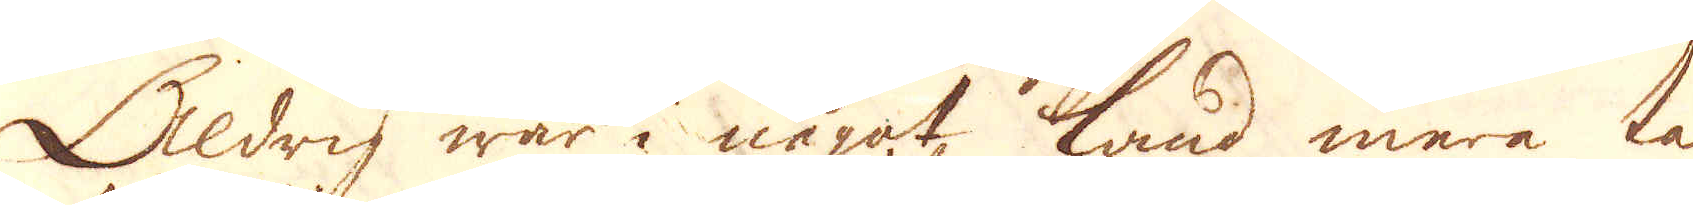Aldrig war i någat, land mera talt
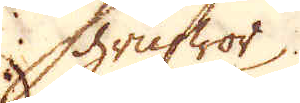grufwor
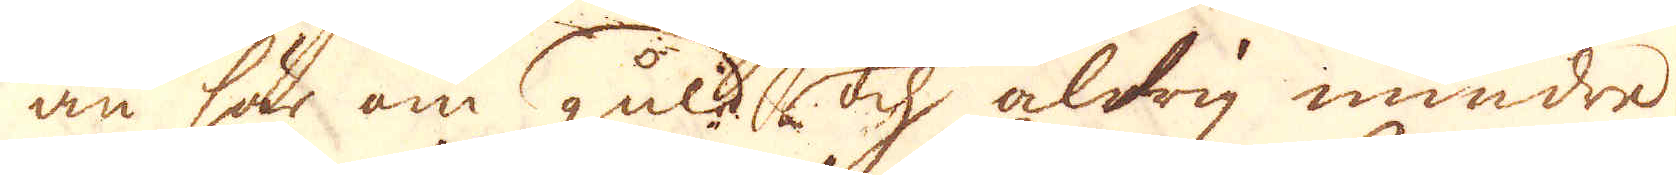än här om guld och aldrig mindre
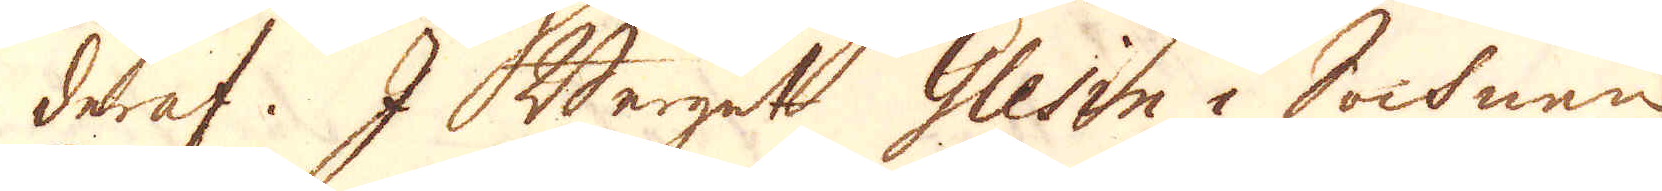derraf. I Berget Glesin i Sochnen
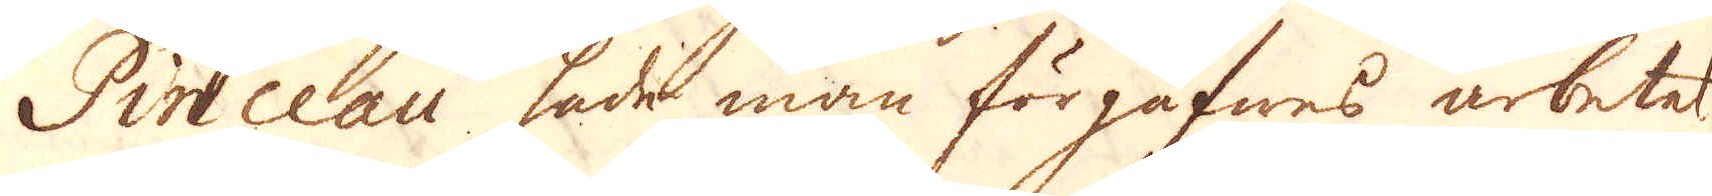Pinceau hade man förgäfwes arbetet.
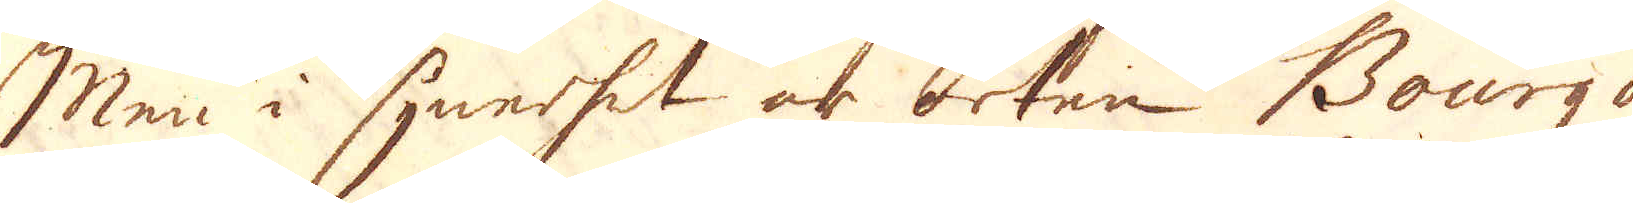Men i synnerhet är orten Bourg d'
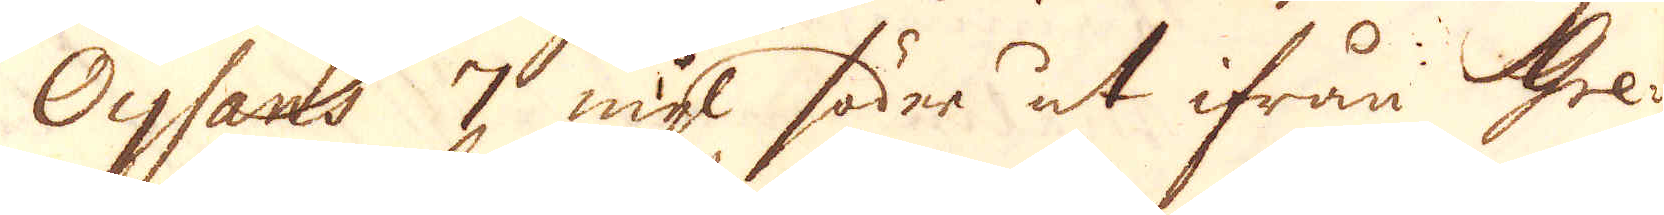Oysans 7 mil söder ut ifrån Gre-
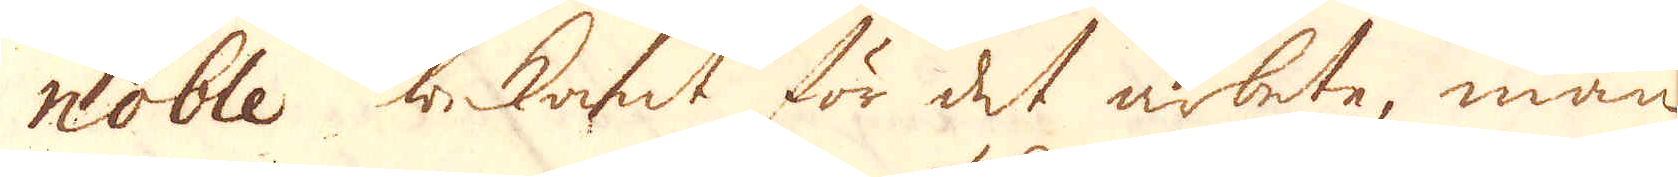noble bekant för det arbete, man
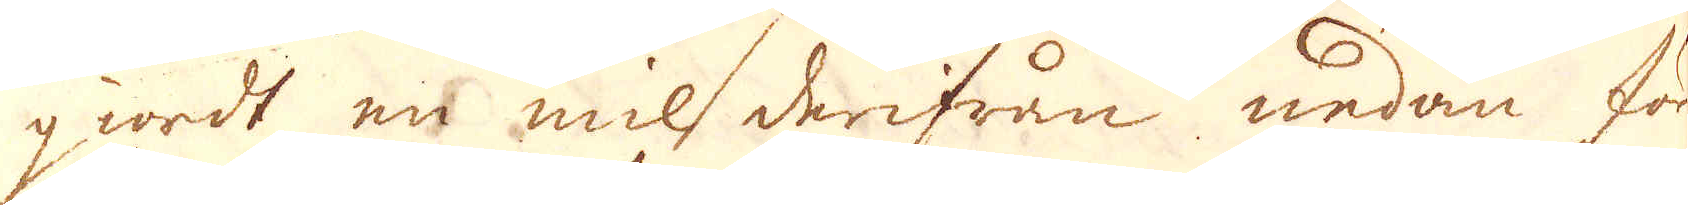giordt en mil derifrån nedan för
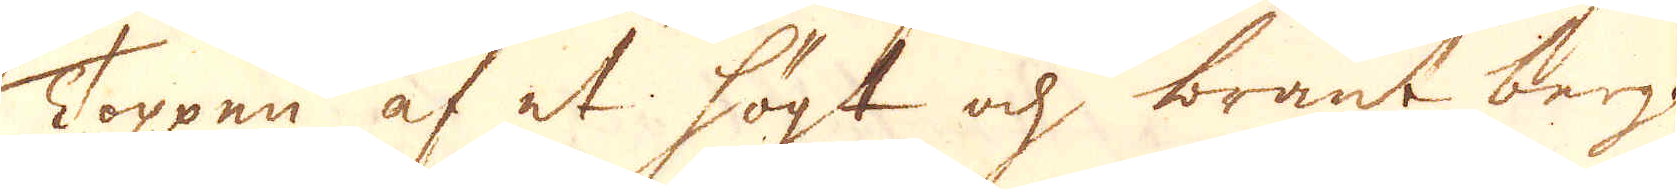Toppen af et högt och brant berg.
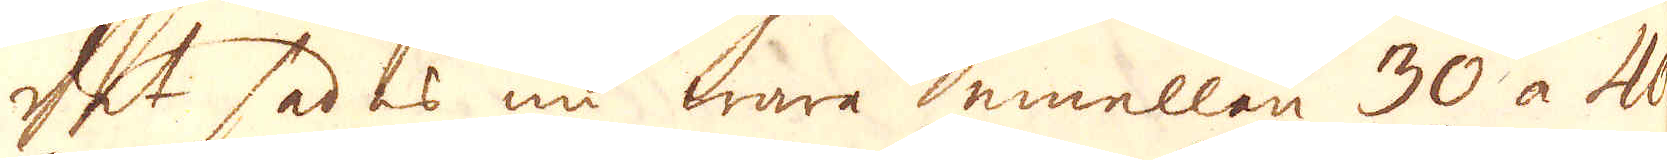Det sades nu wara emellen 30 à 40
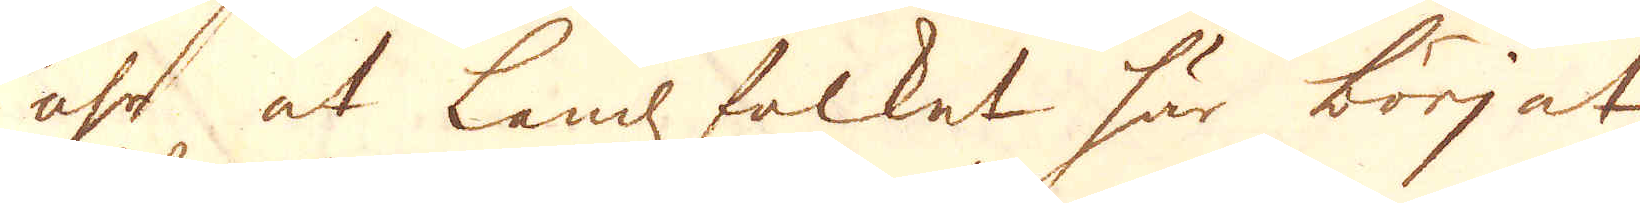åhr at Lands folket här börjat
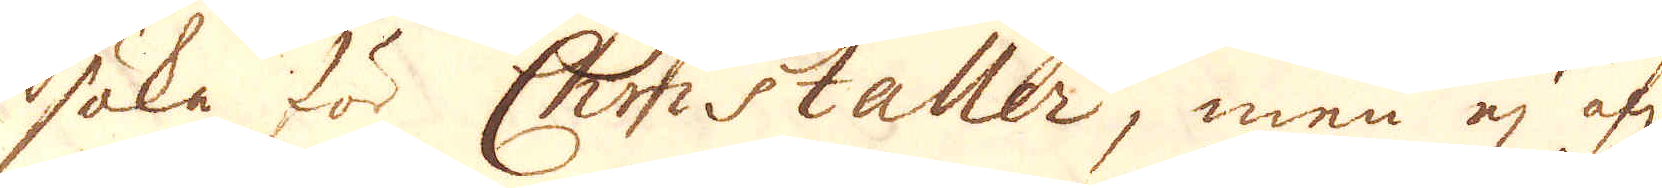söka för Christaller, men ej öf:r
